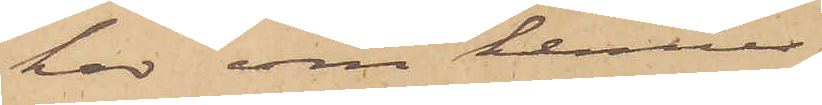har om hennes
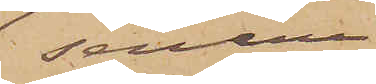senare
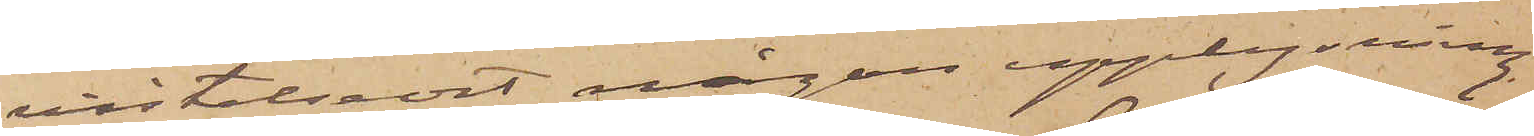vistelseort någon upplysning
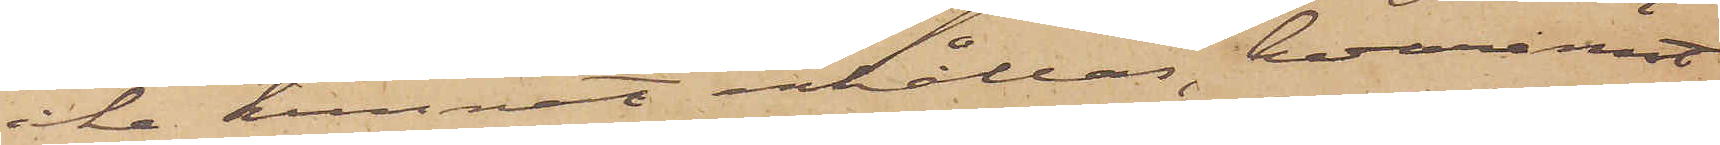icke kunnat erhållas, hvaremot
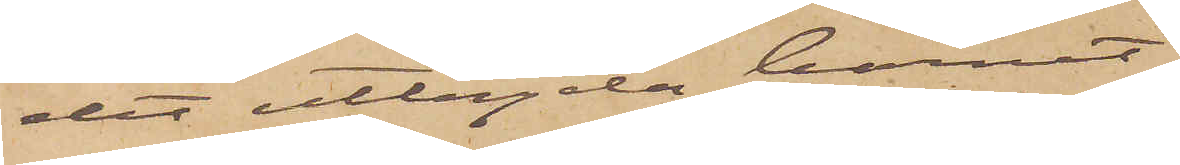det utlagda barnet
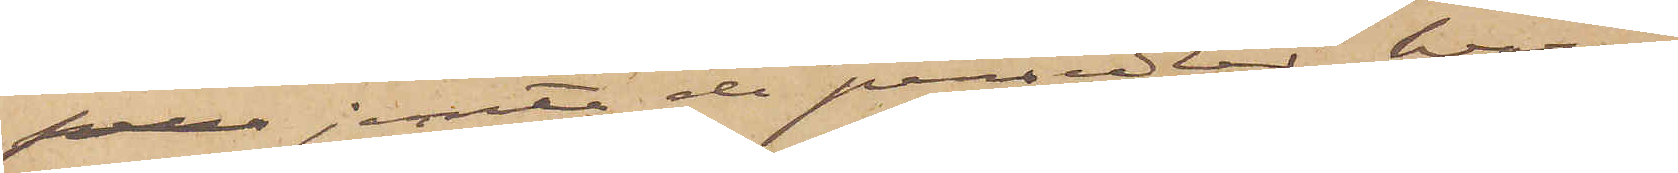pers jemte de persedlar, hvari
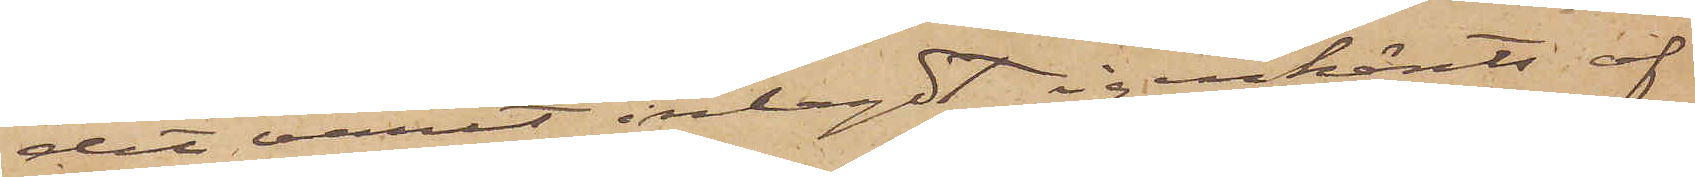det varit inlagdt igenkänts af
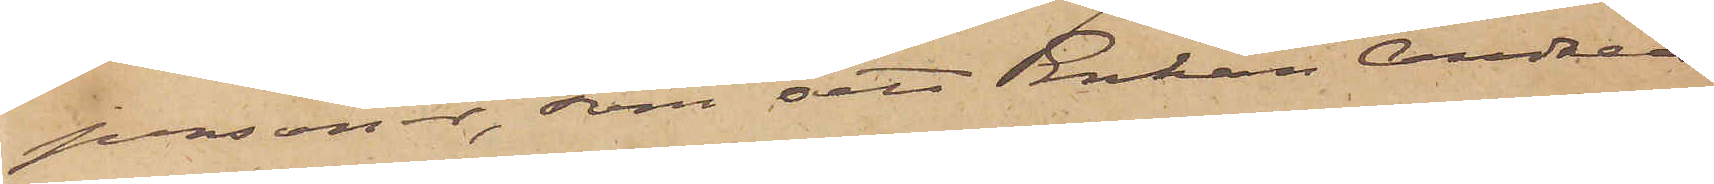personer, som sett Enkan Andreas¬
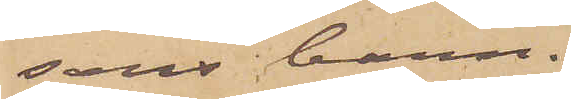sons barn.
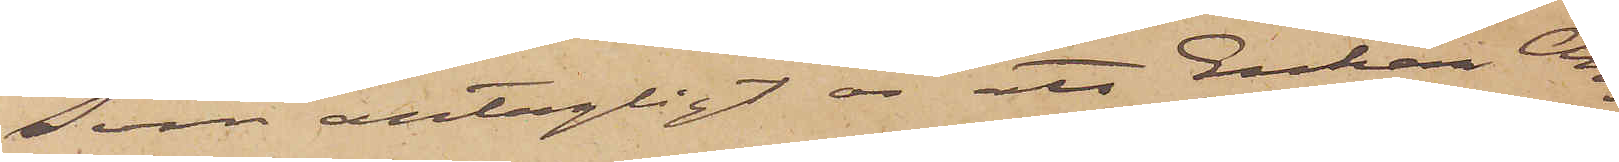Som antagligt är att Enkan An¬
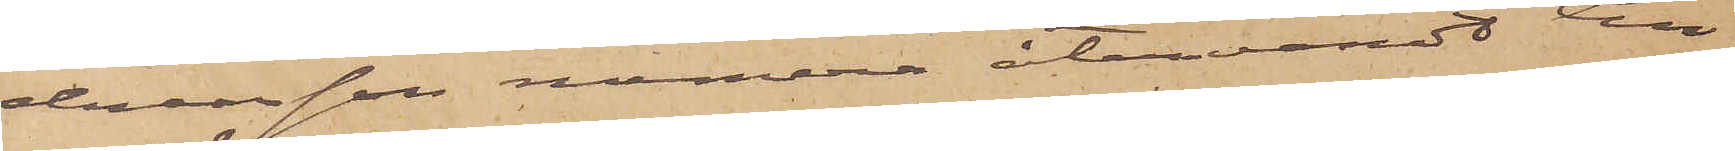dreasson numera återvändt till¬
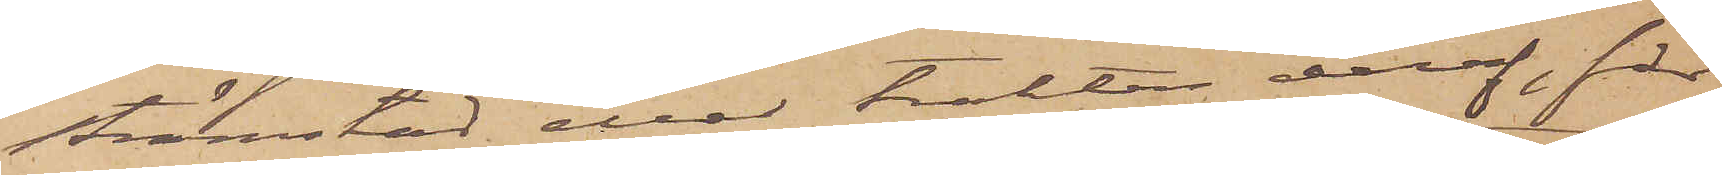Strömstad eller trakten deraf, får
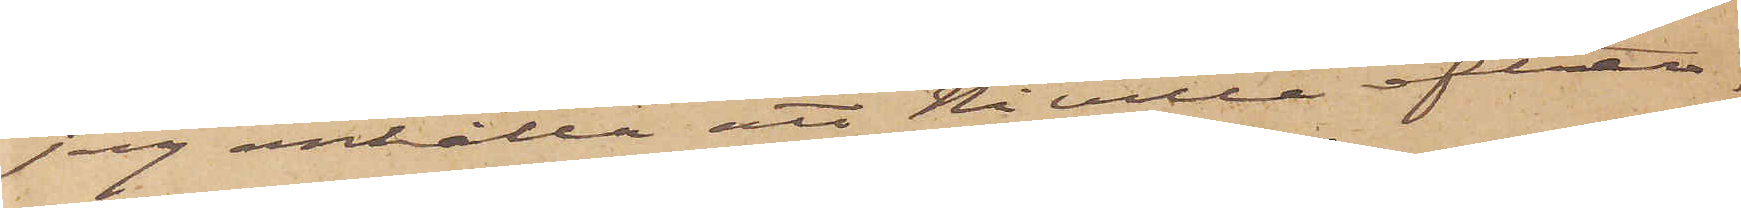jag anhålla att Ni ville efter¬
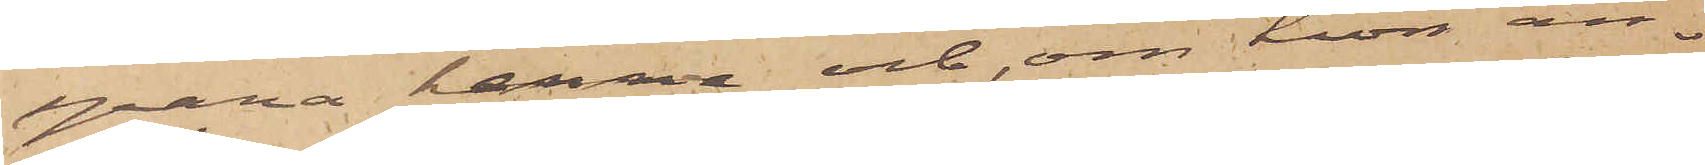spana henne och, om hon an¬
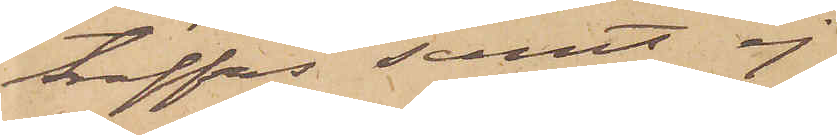träffas samt ej
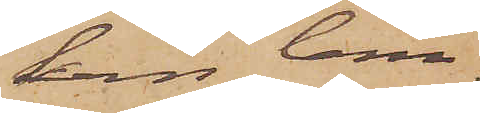kan lem¬
